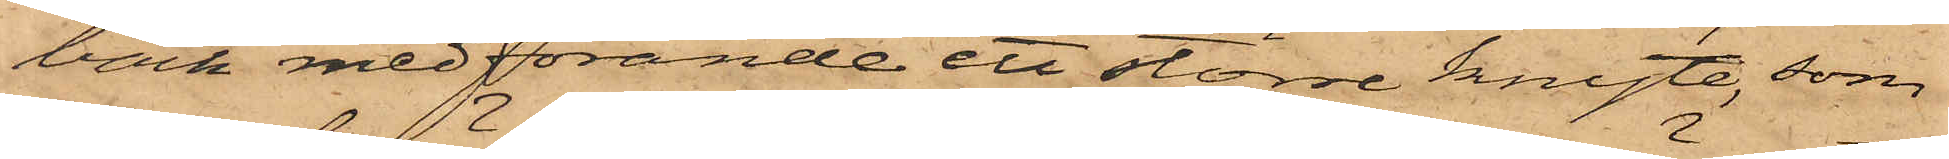bäck medförande ett större knyte, som
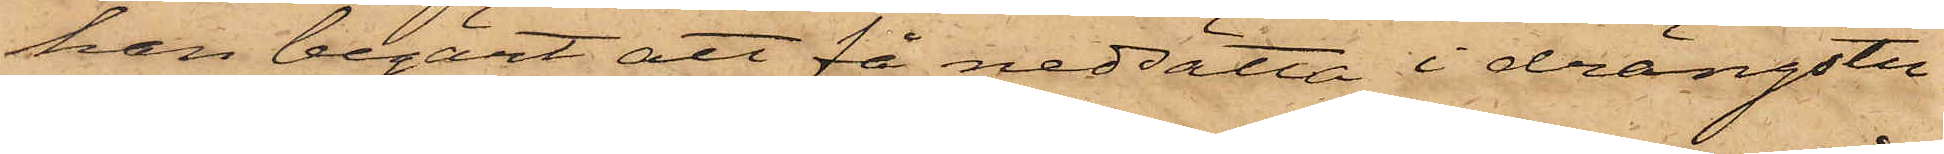han begärt att få nedsätta i drängstu¬
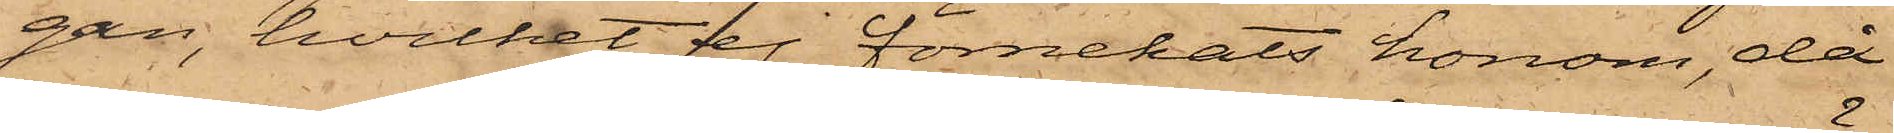gen, hvilket ej förnekats honom, då
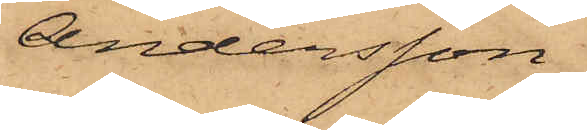Andersson,
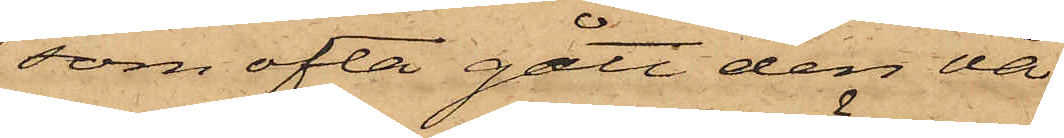som ofta gått den vä¬
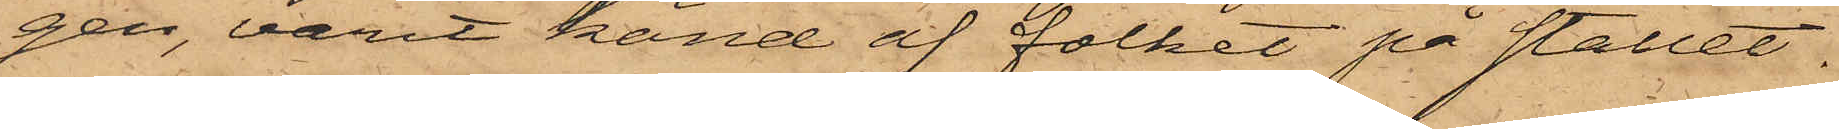gen, varit känd af folket på stället.
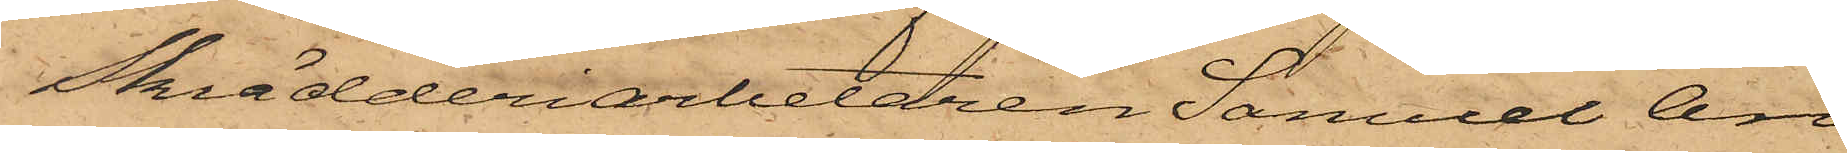Skrädderiarbetaren Samuel An¬
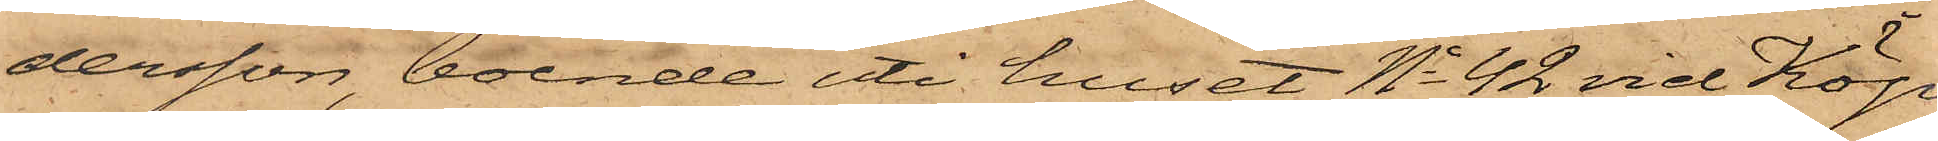dersson, boende uti huset No 42 vid Köp¬
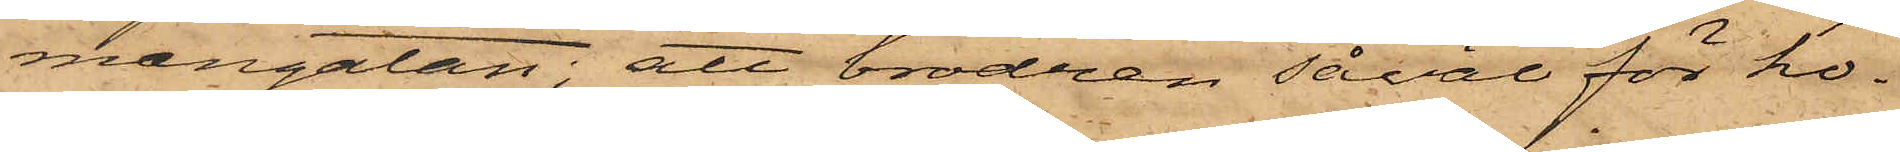mangatan; att brodren såläl för ho¬
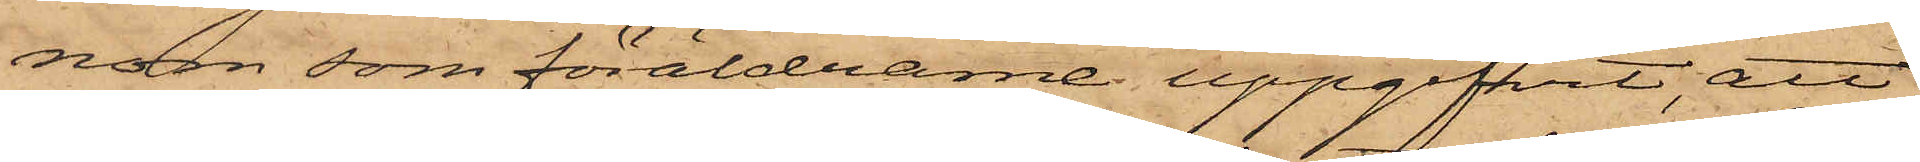nom som föräldrarne uppgifvit, att
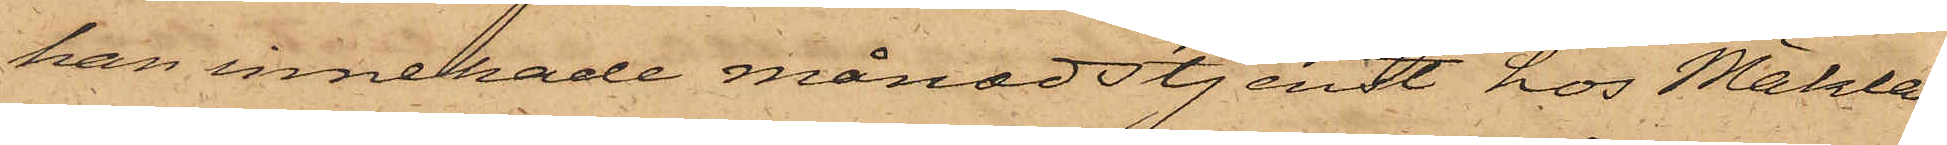han innehade månadstjenst hos Mäkla¬
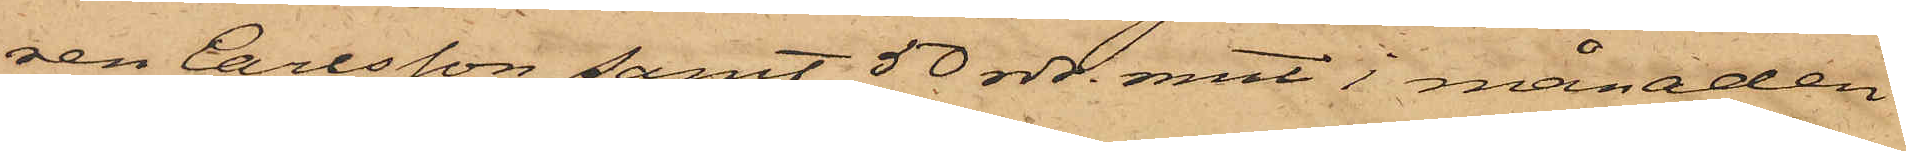ren Carlsson samt 50 rdr. rmt i månaden
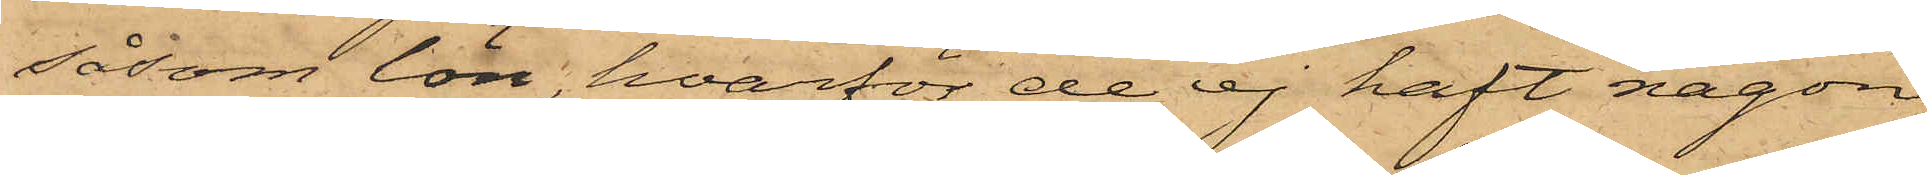såsom lön, hvarför de ej haft någon
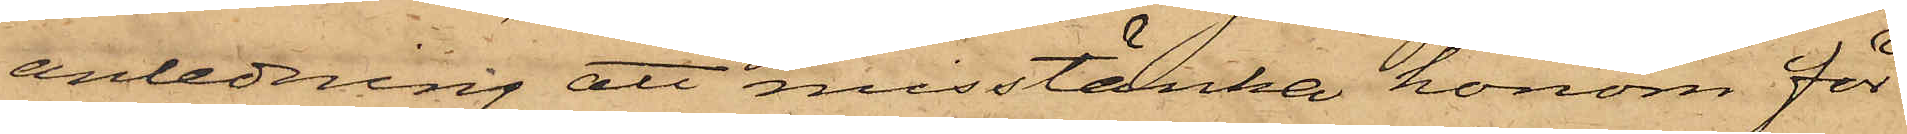anledning att misstänka honom för
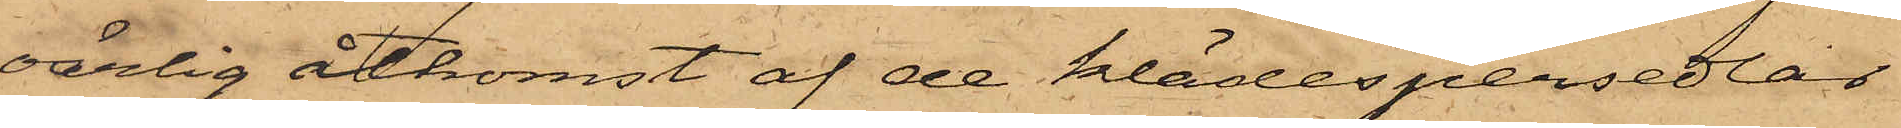oärlig åtkomst af de klädespersedlar
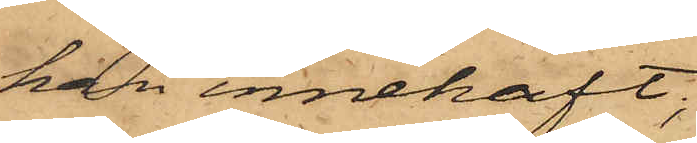han innehaft;
